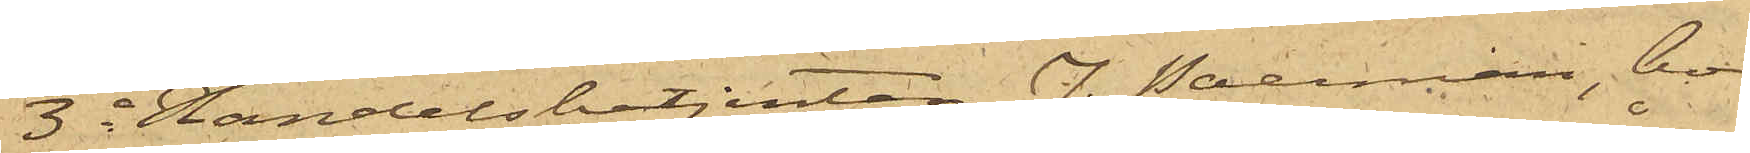3o Handelsbetjenten J. Paerman, bo¬
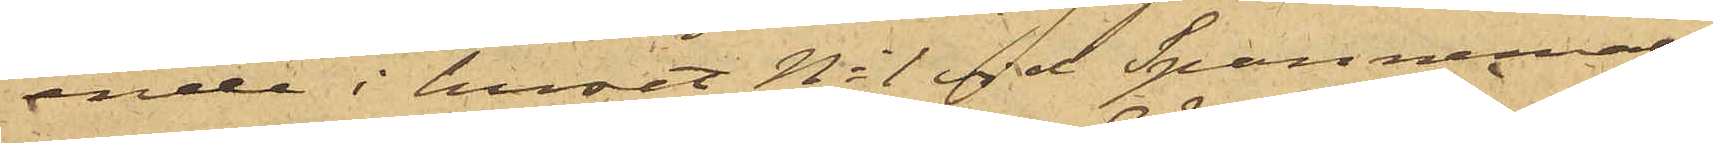ende i huset No 1 vid Spannmåls¬
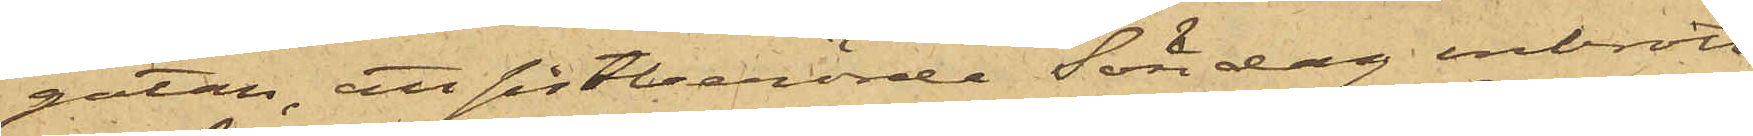gatan, att sistberörde Söndag inbrott
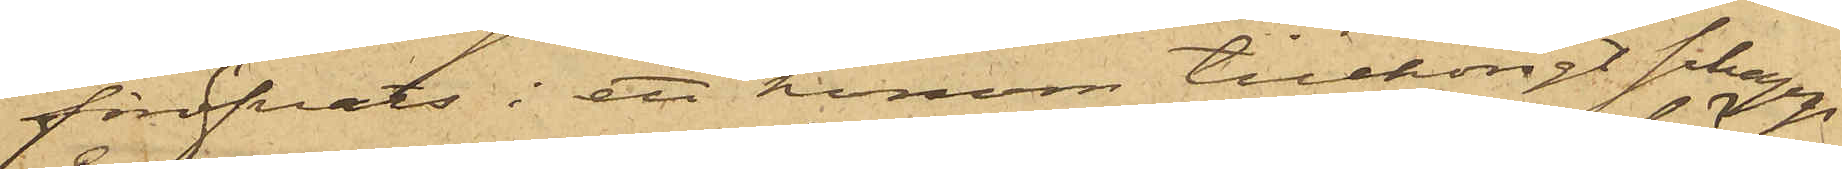föröfvats i ett honom tillhörigt schapp
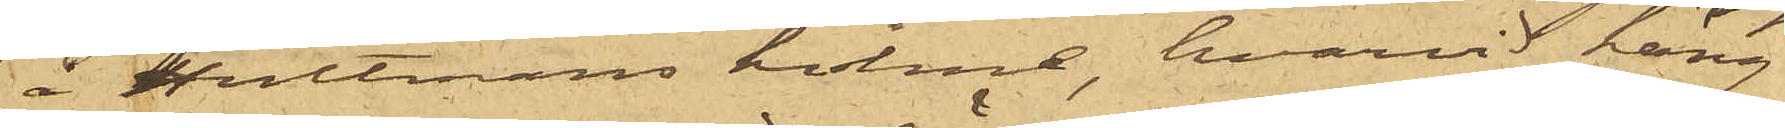å Hultmans holme, hvarvid häng¬
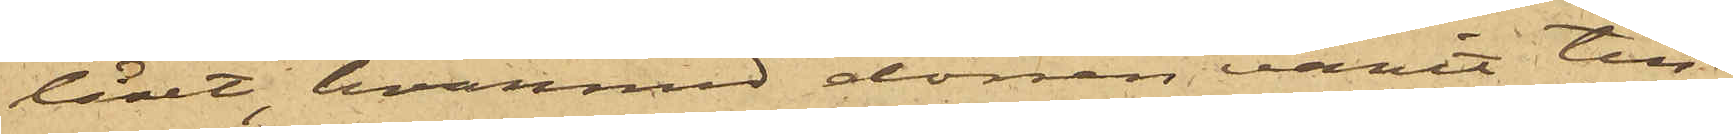låset, hvarmed dörren varit till¬
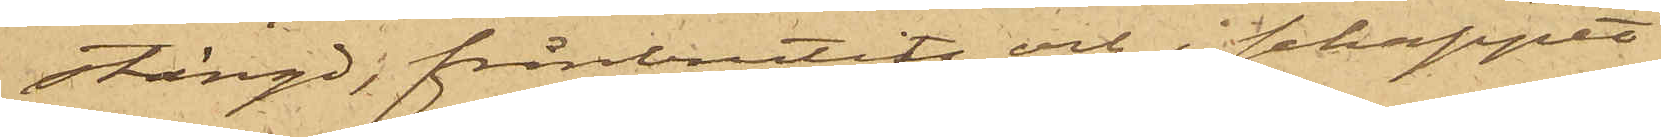stängd, frånbrutits och i schappet
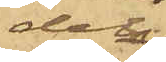dels
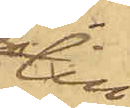till¬
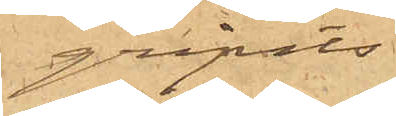gripits
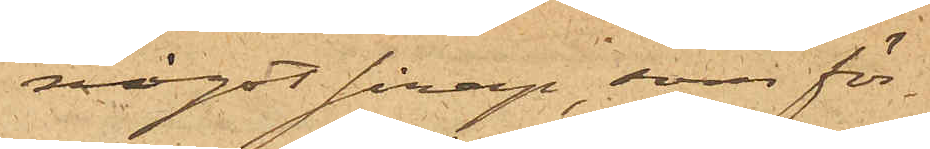något sirap, som för¬
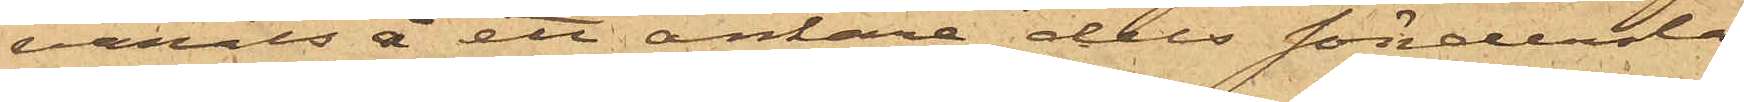varats i ett ankare, dels söndersla¬
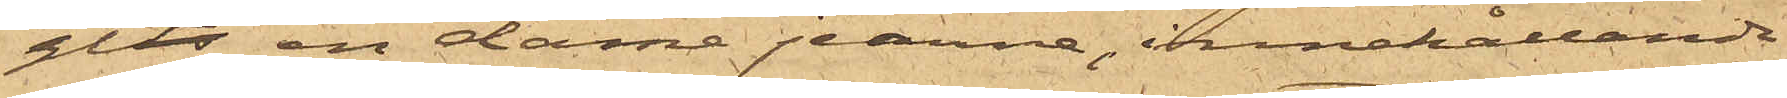gits en damejeanne, innehållande
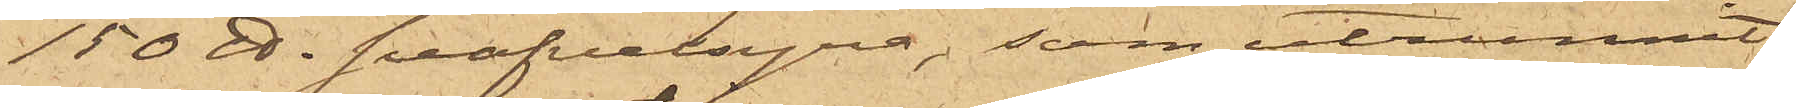150 ℔ svafvelsyra, som utrunnit.
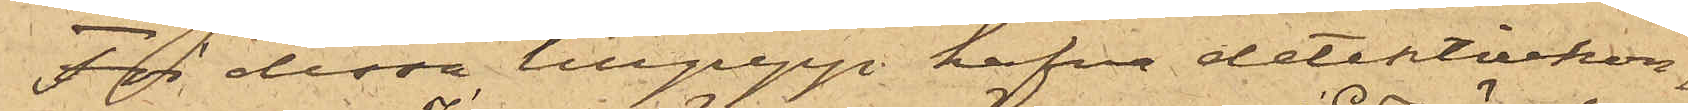För dessa tillgrepp hafva detektivkon¬
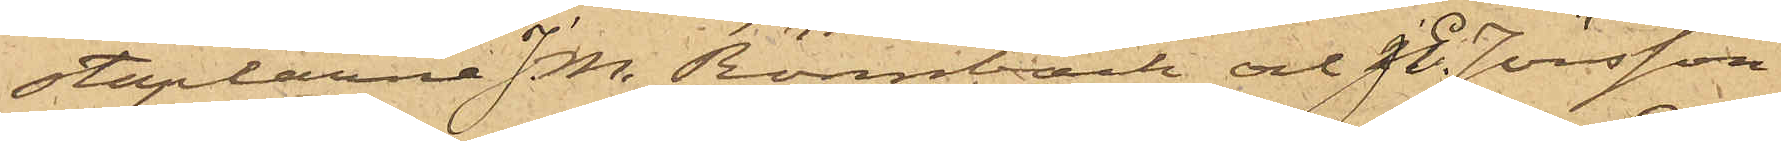staplarne J. M. Rönnbäck och J. E. Jönsson
